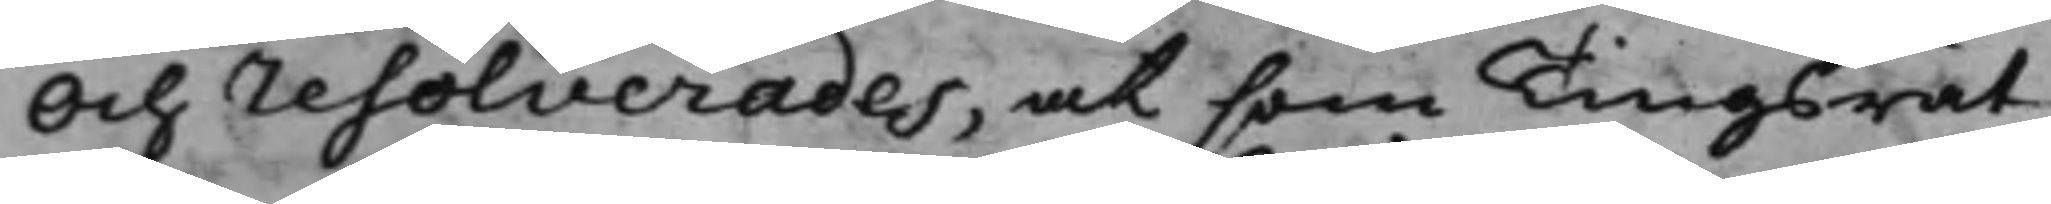Och resolverades, at som Tingsrät¬
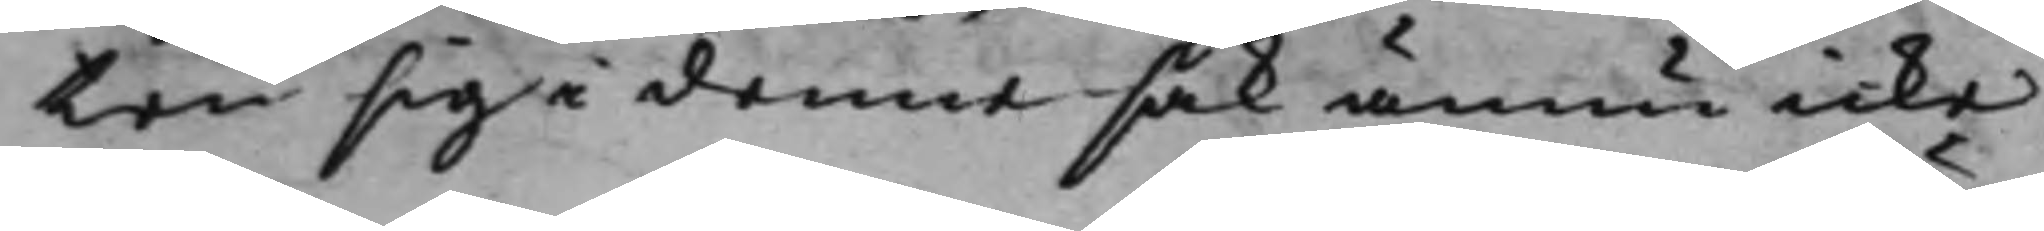ten sig i denne sak ännu icke
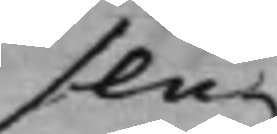slu¬
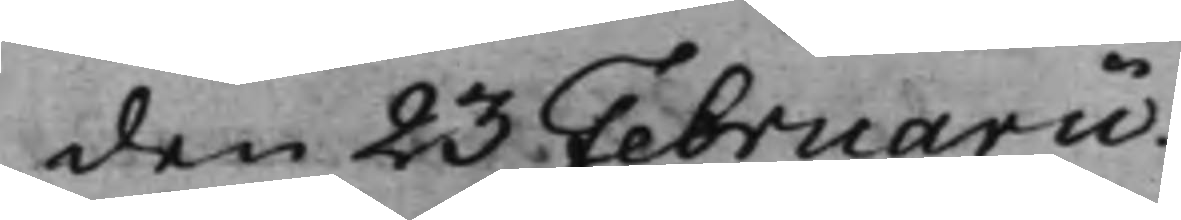den 23 Februarii.
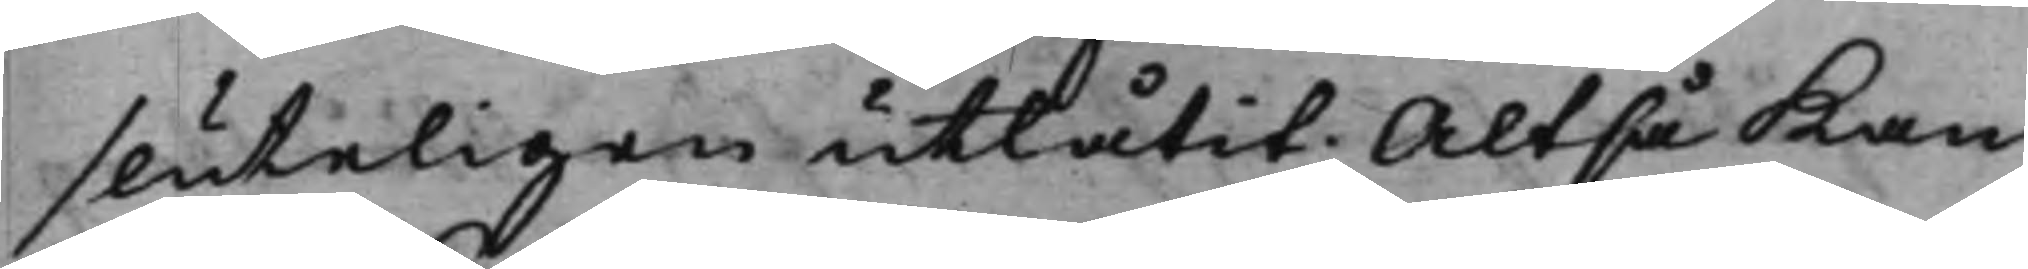sluteligen utlåtit; Altså Kan
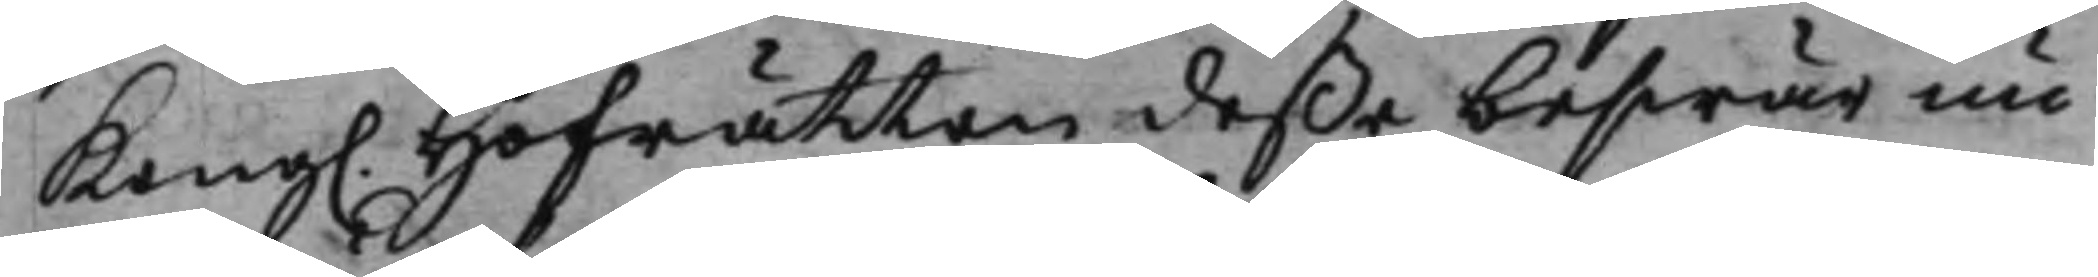Kong. Hofrätten deße beswär nu
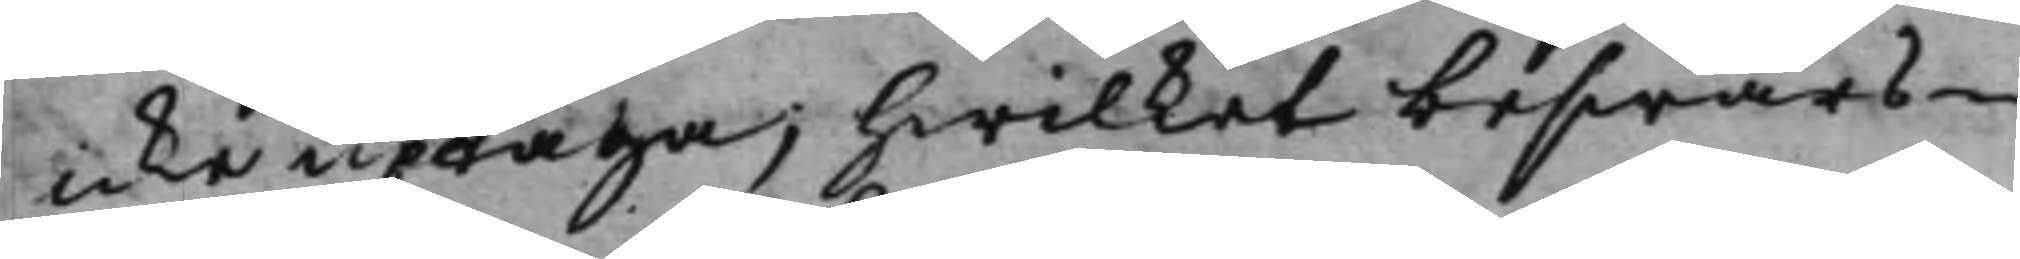icke uptaga; hwilket beswärs¬
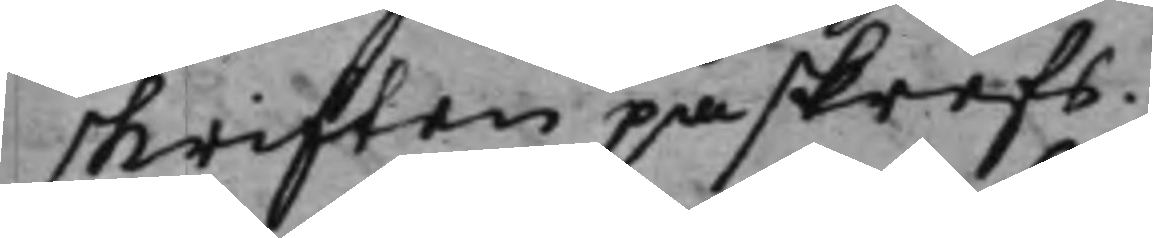skriften påskrefs.
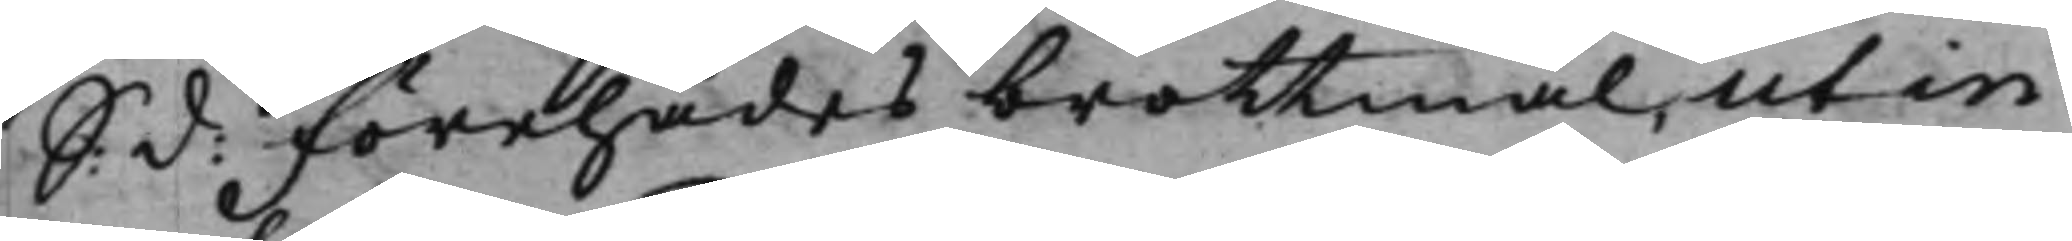S: d: Förehades brottmål, ut in
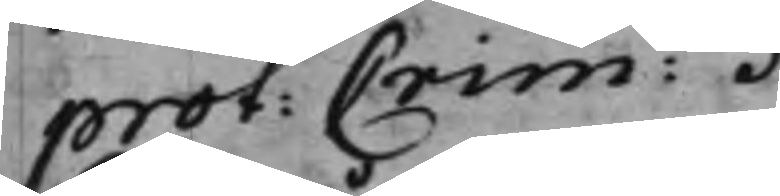prot: Crim: .
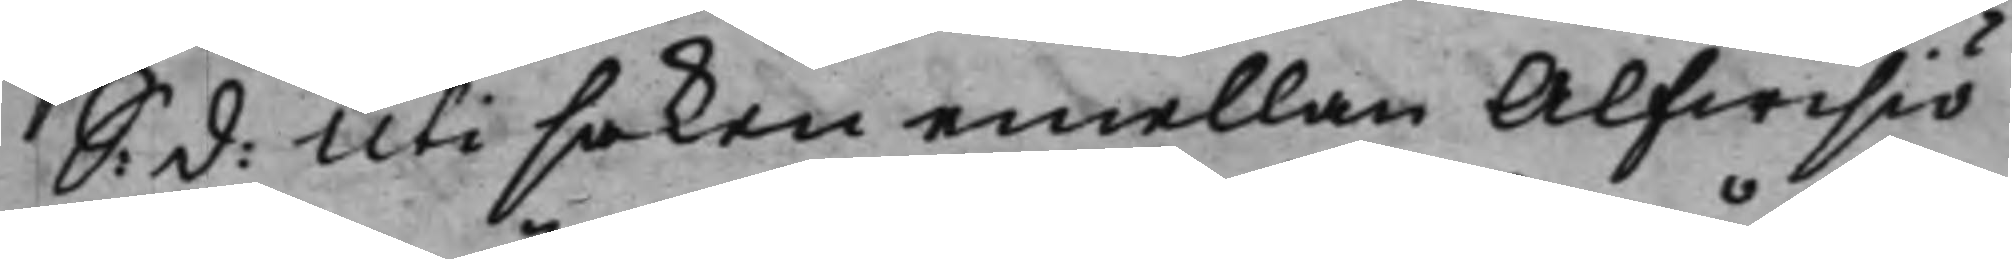S: d: Uti saken emellan Alfwisiö
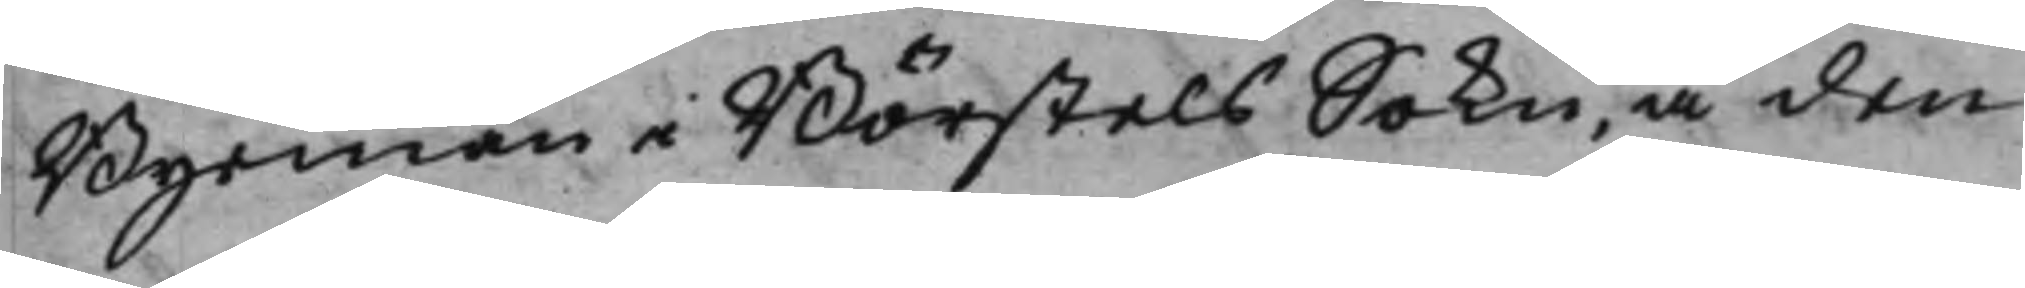Byemän i Börstels Sokn, å den
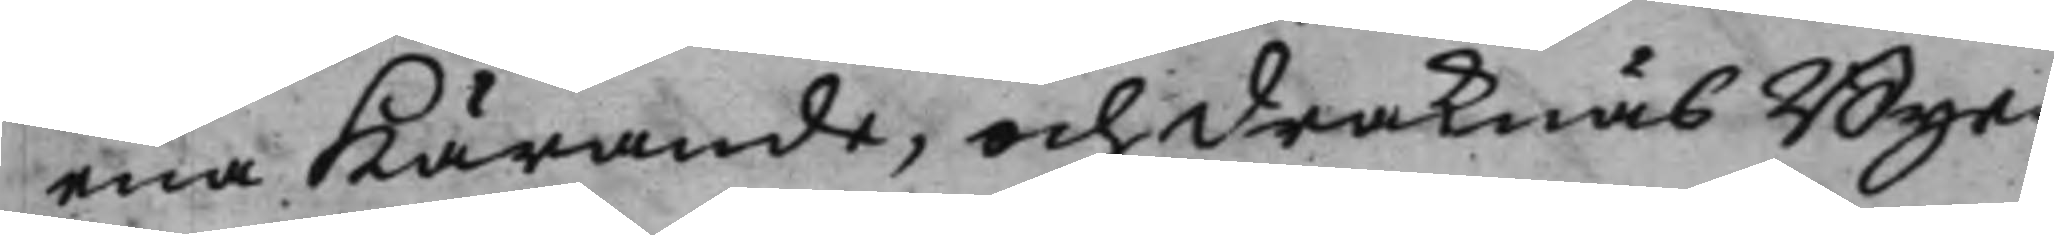ena Kärande, och Draknäs Bye¬
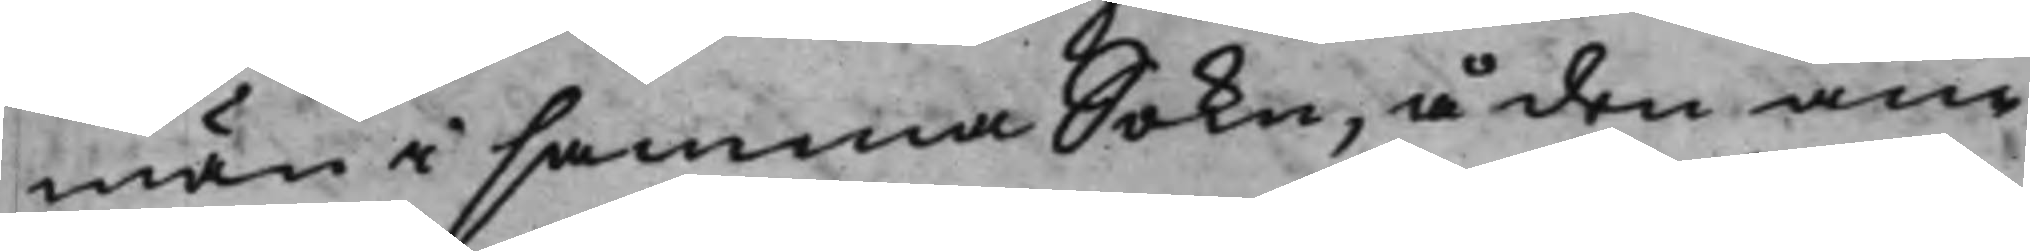män i samma Sokn, å den an¬
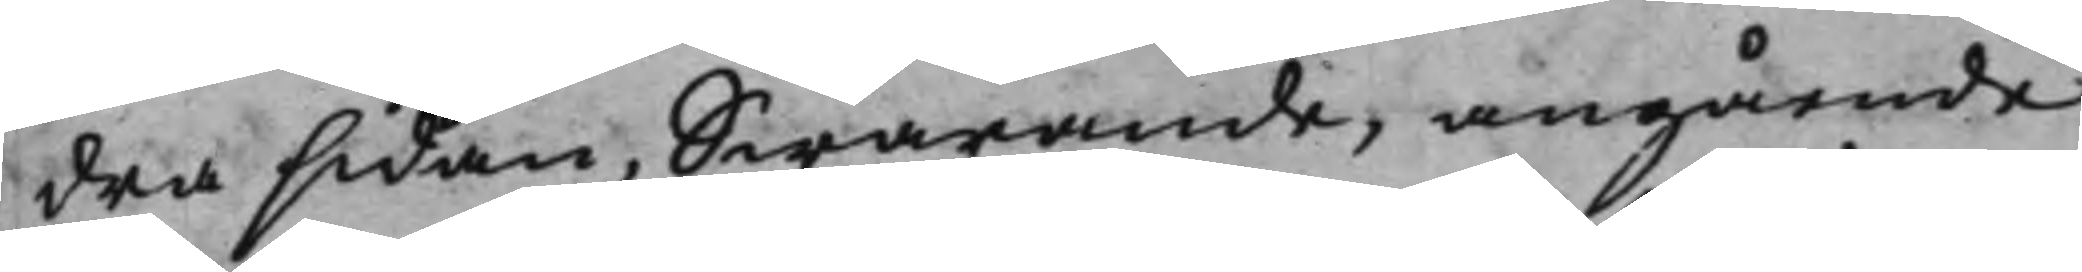dra sidan, Swarande, angående
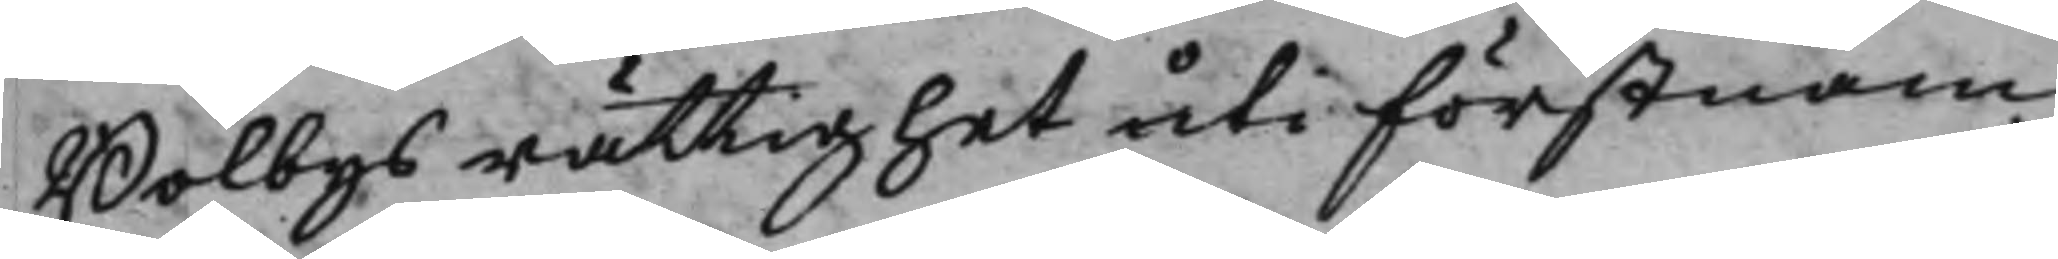Bolbys rättighet uti Förstnäm¬
